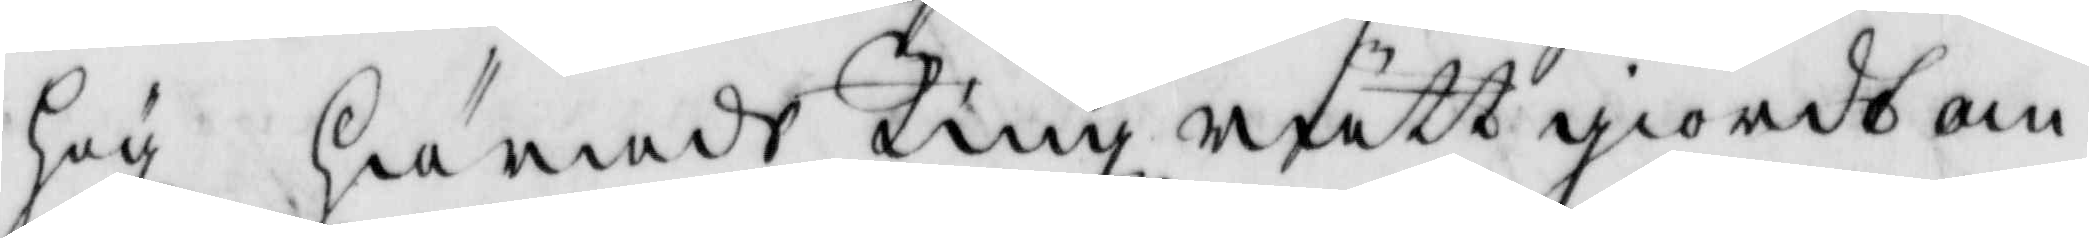hög härads Tingz rätt giordt om
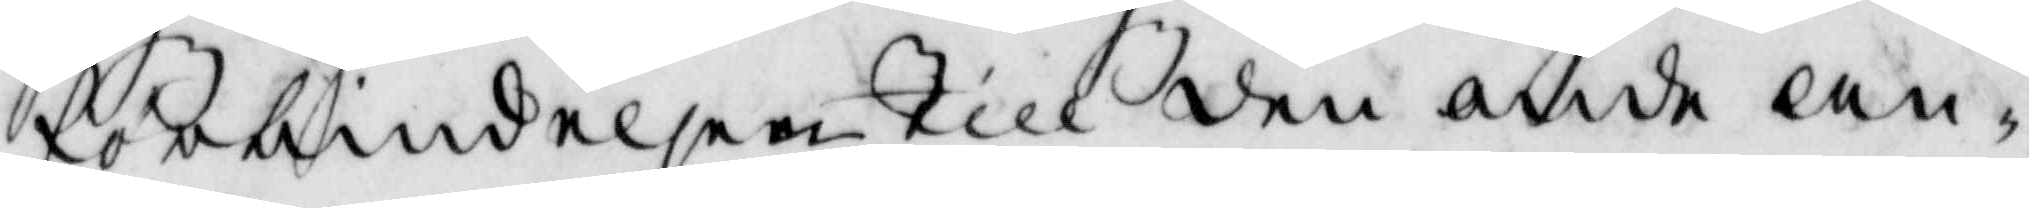förbindelsen Till den onde an¬
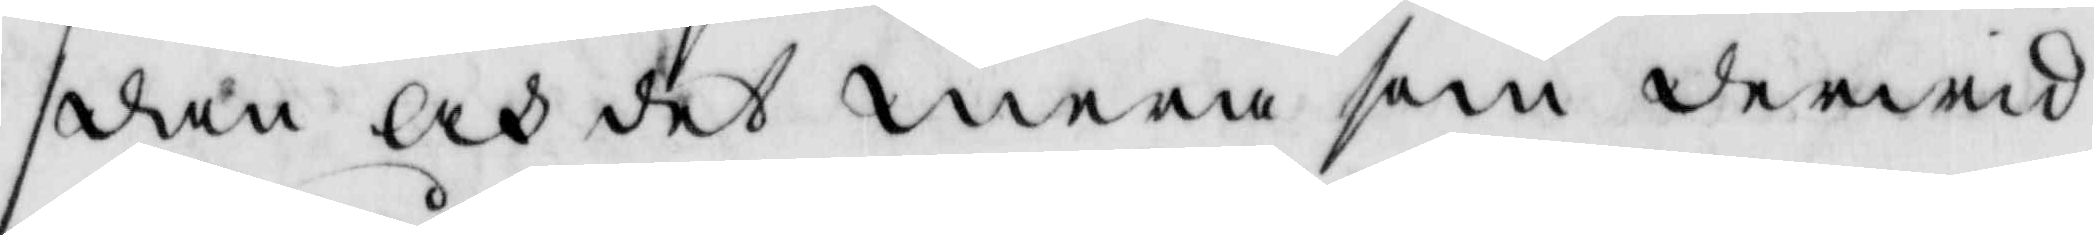den och det mera som derwid
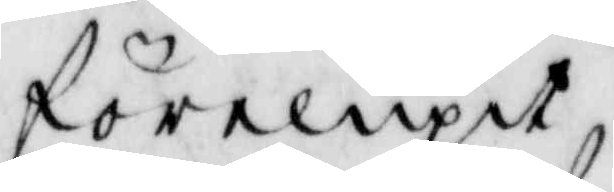förelupit.
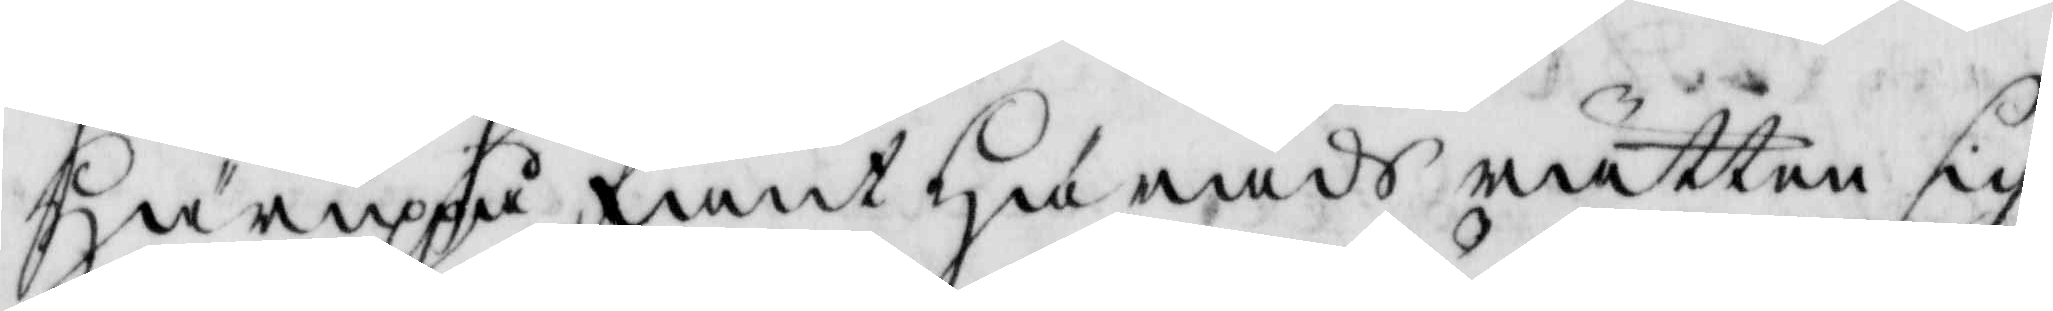Häruppå fant Härads rätten sig
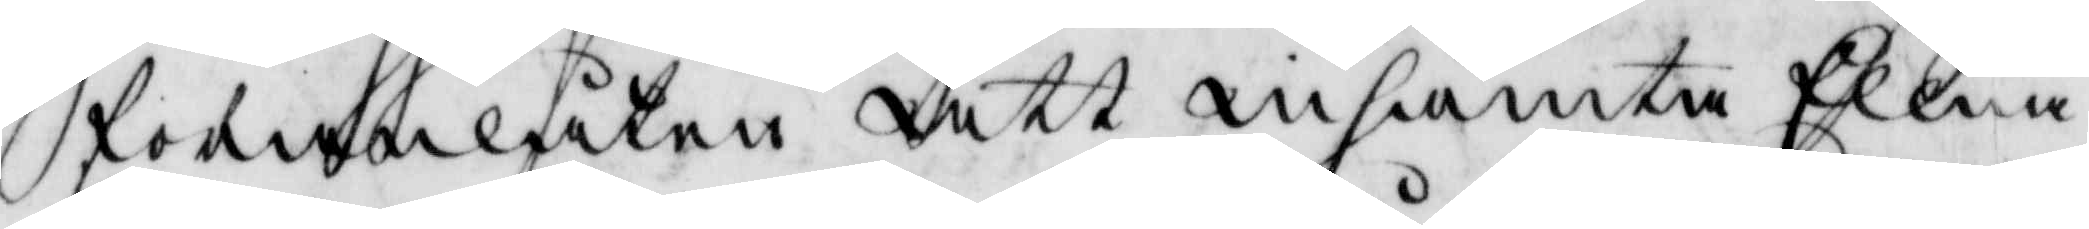föranlåten att inhämta Ellna
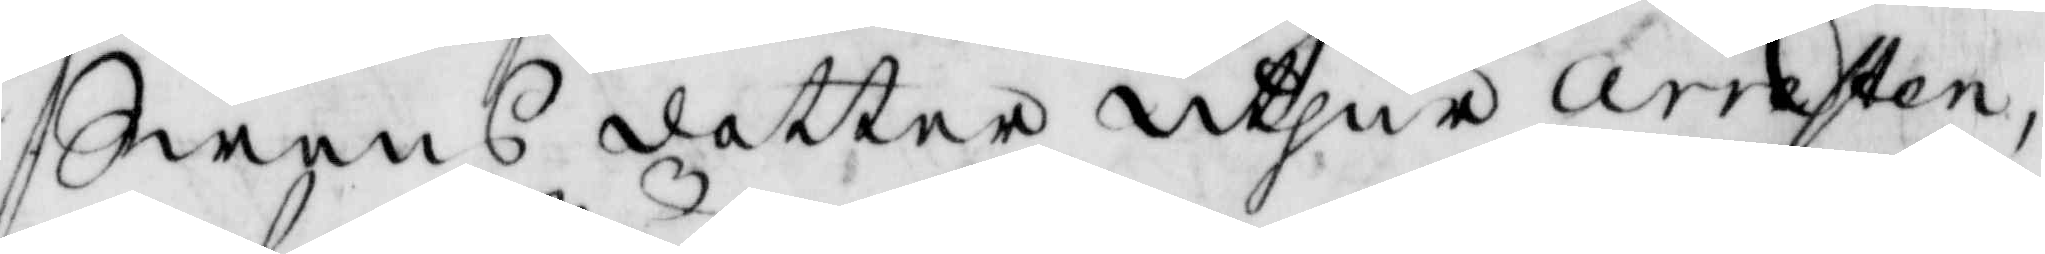Swens dotter uthur arresten,
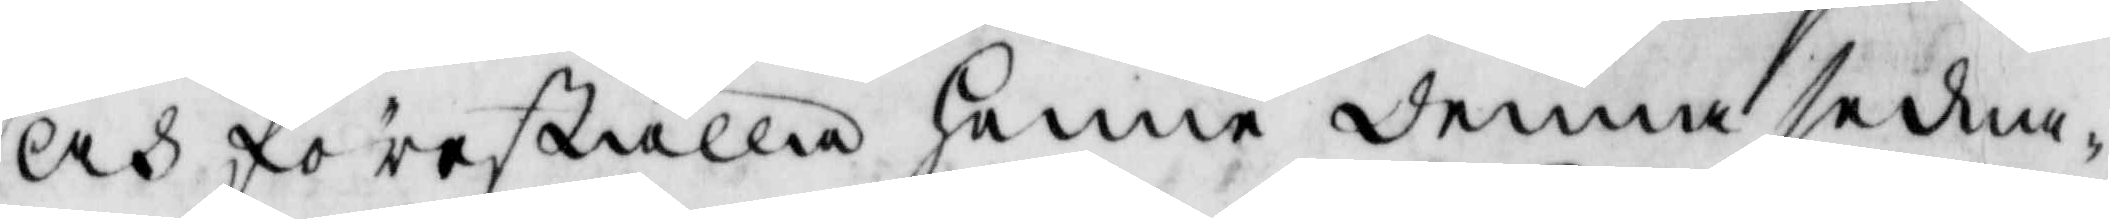och föreställa henne denna sedna¬
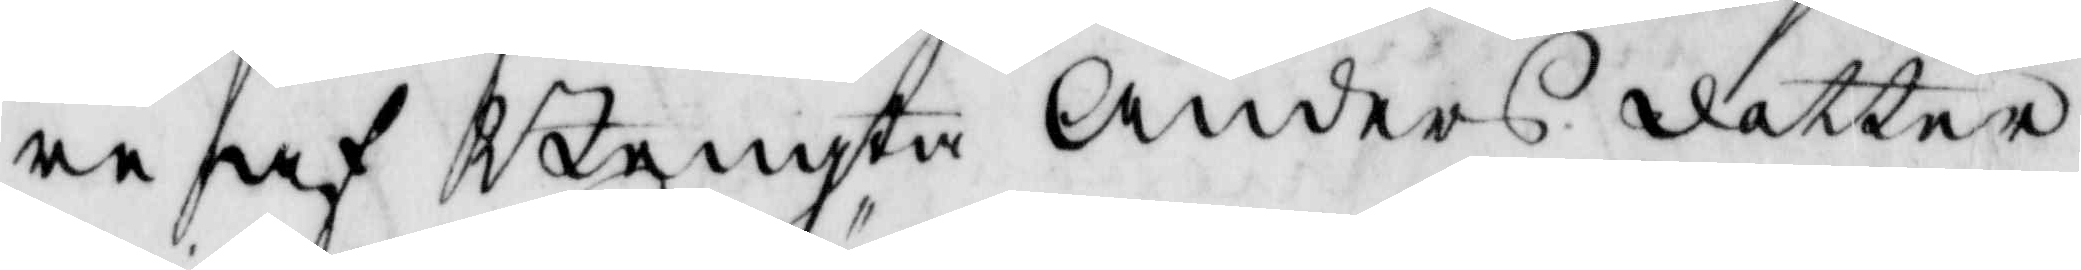re af Bengta Anders dotter
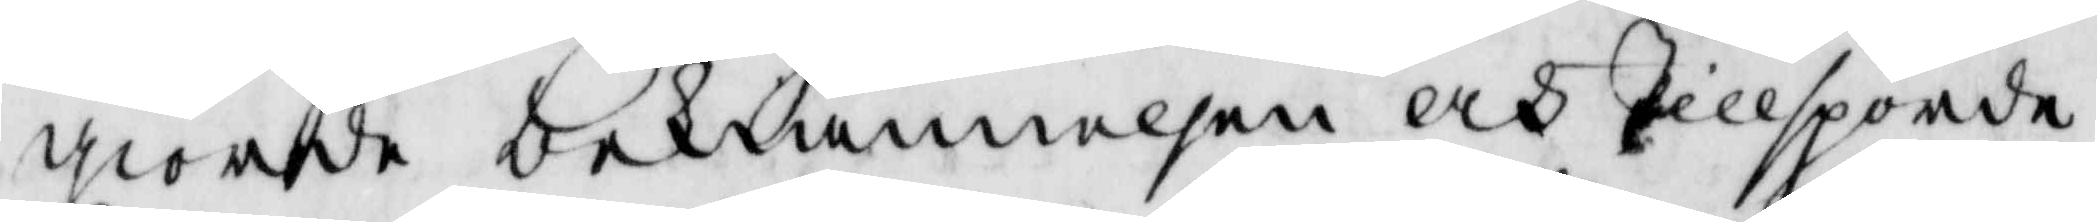giorde bekiännelsen och tillsporde
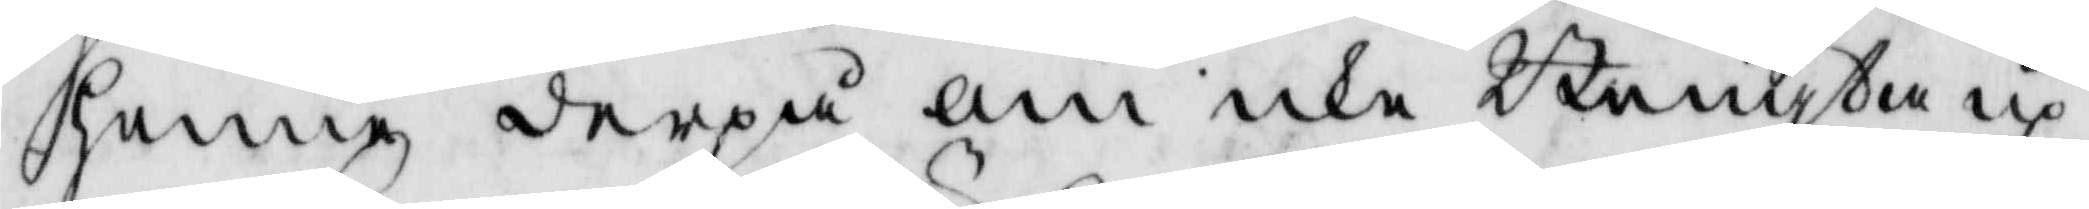henne derpå om icke Bengta up¬
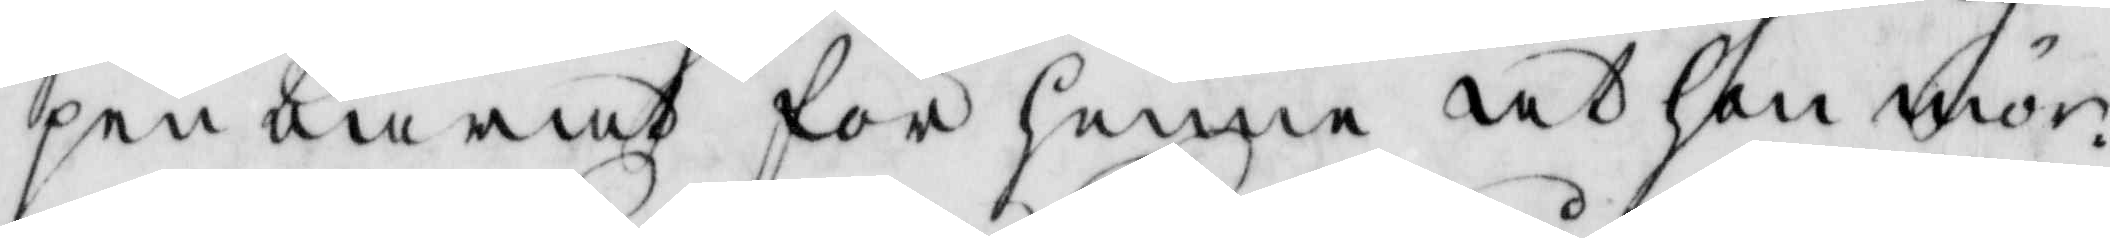penbarat för henne at hon mör¬
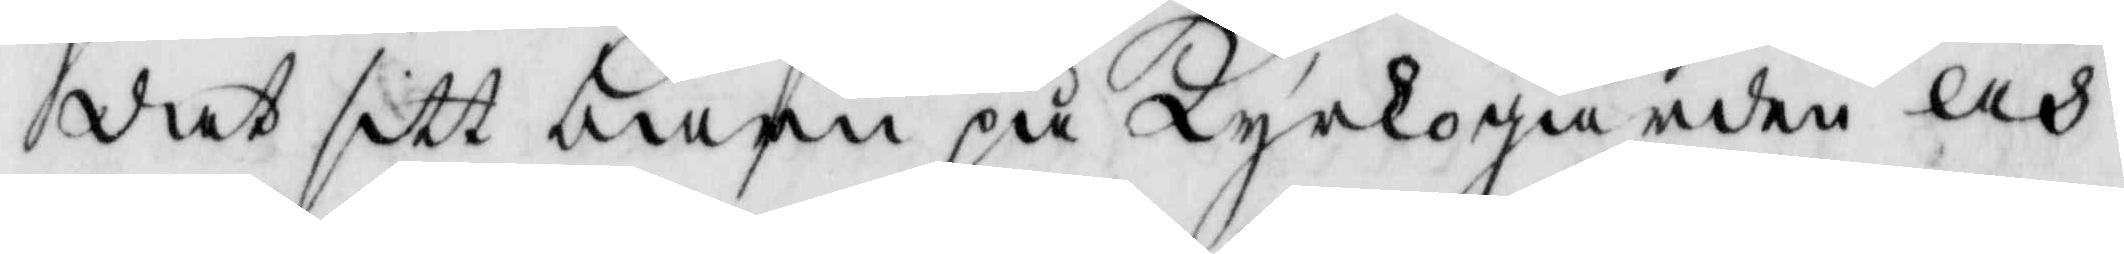dat sitt barn på Kyrkogården och
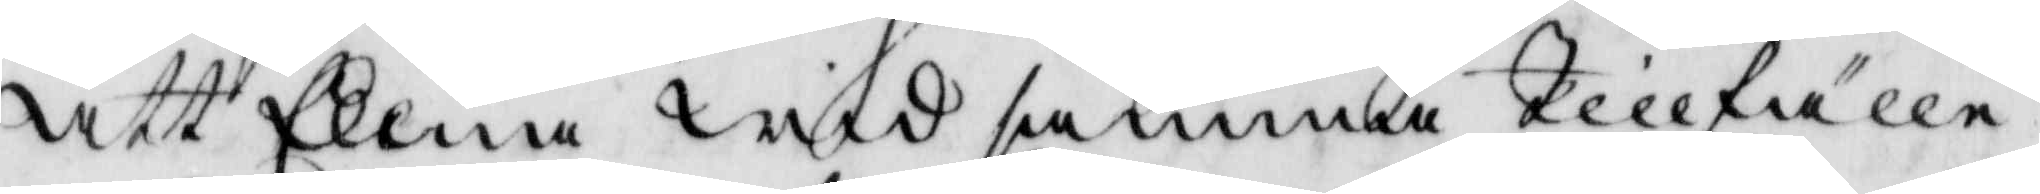att Ellna wid samma tillfälle
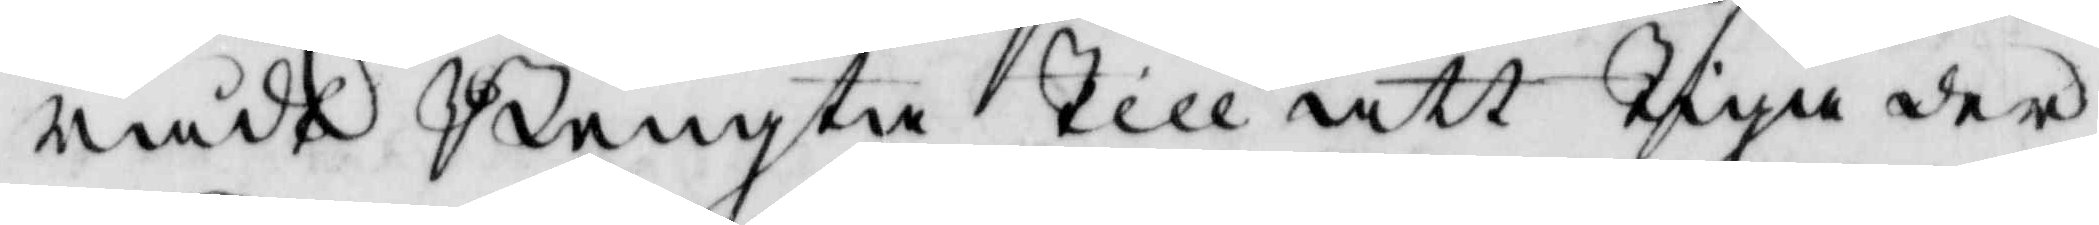rådt Bengta Till att Tiga der¬
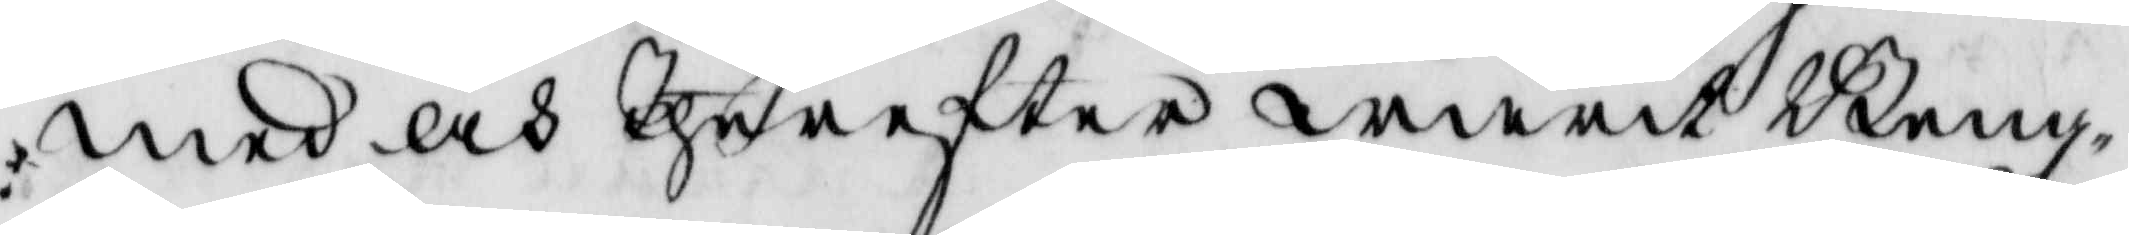med och Therefter warit Beng¬
